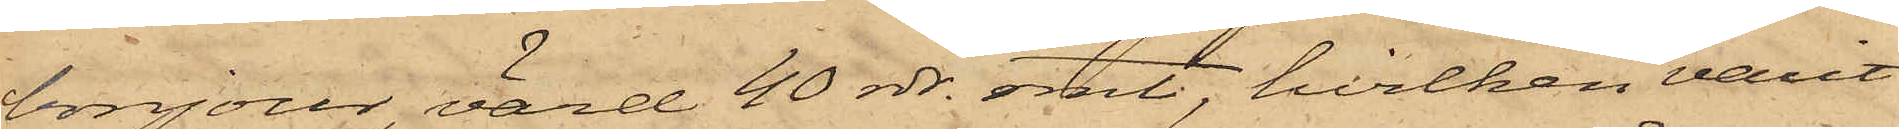bonjour värd 40 rdr. rmt, hvilken varit
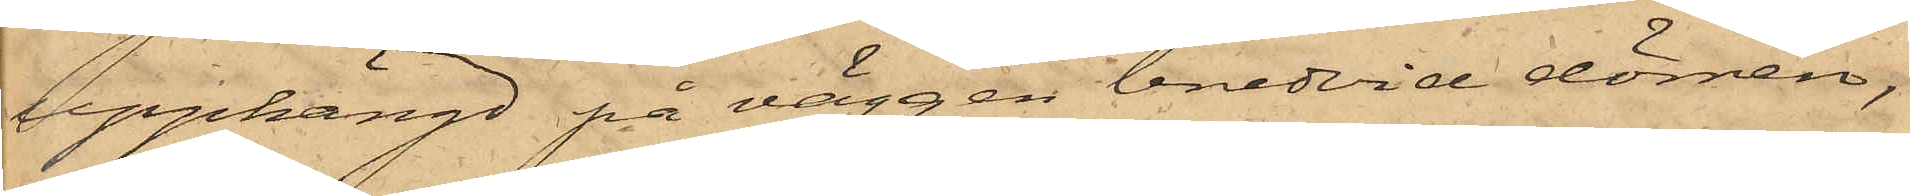upphängd på väggen bredvid dörren,
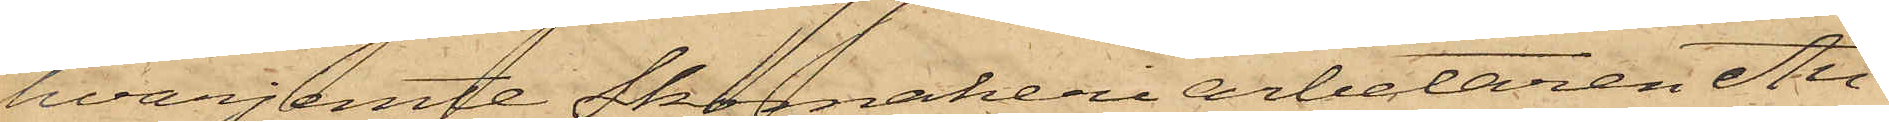hvarjemte Skomakeriarbetaren Au¬
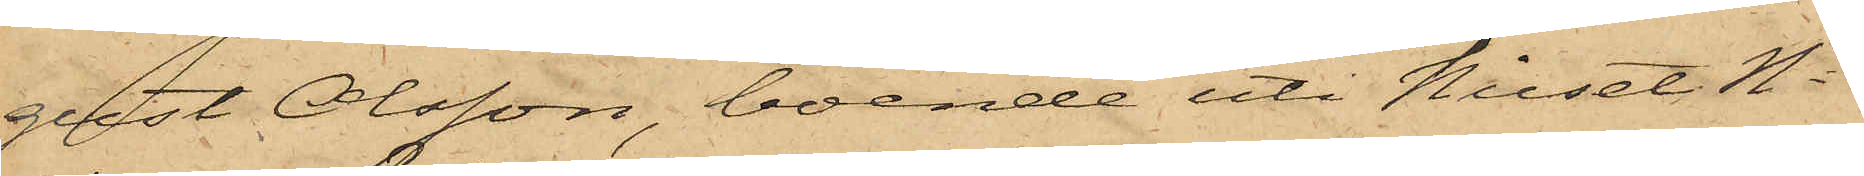gust Olsson, boende uti huset No
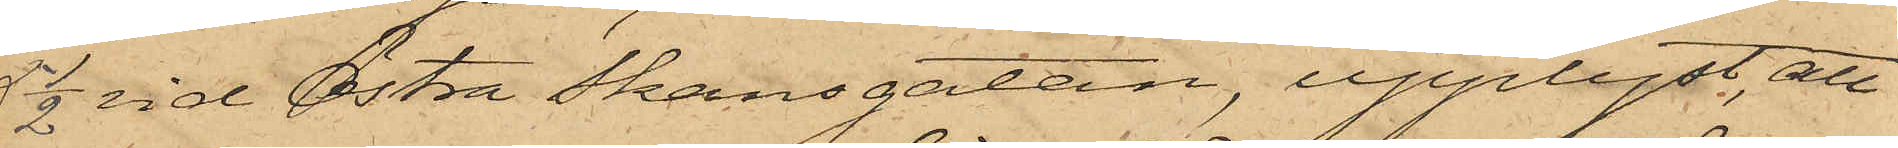5 1/2 vid Östra Skansgatan, upplyst, att
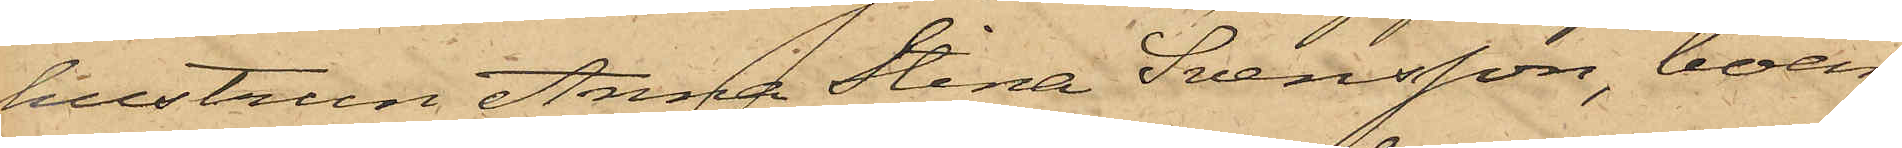hustrun Anna Stina Svensson, boen¬
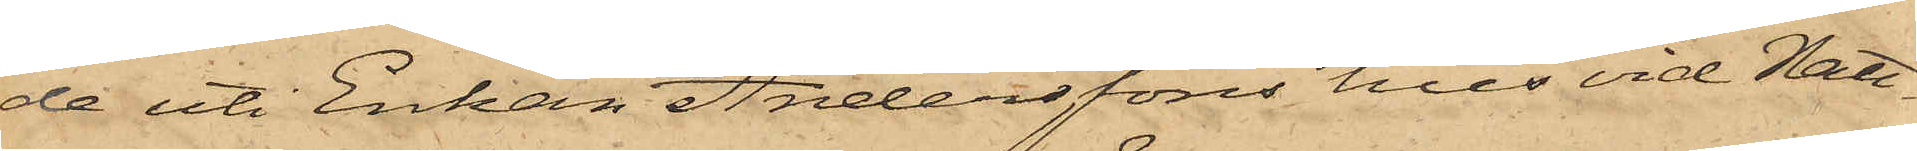de uti Enkan Anderssons hus vid Natt¬
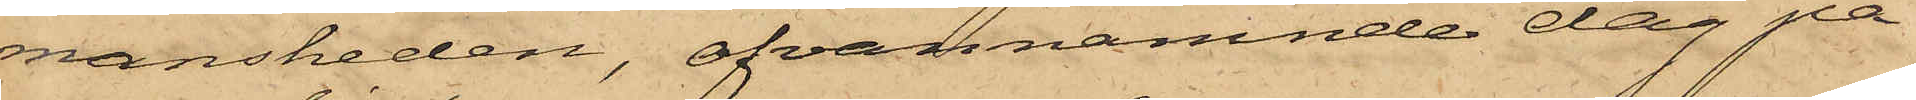mansheden, ofvannämnde dag på
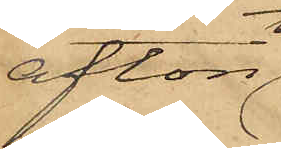afton
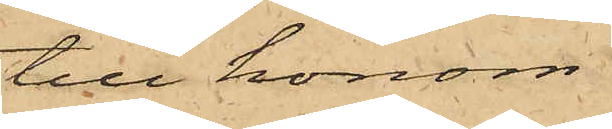till honom
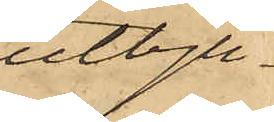utbju¬
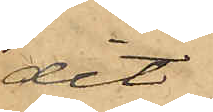dit
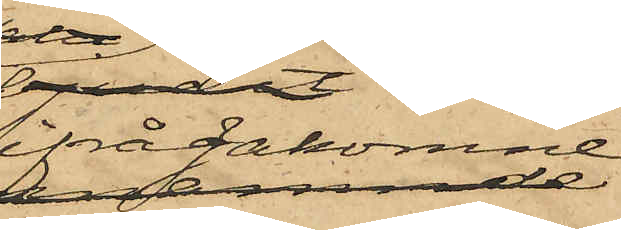ifrågakomne
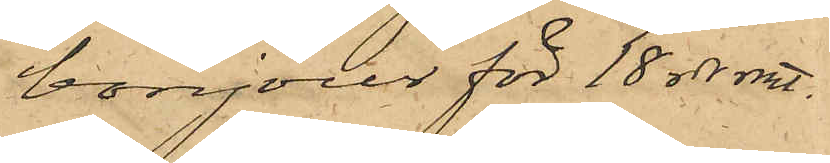bonjour för 18 rdr rmt.
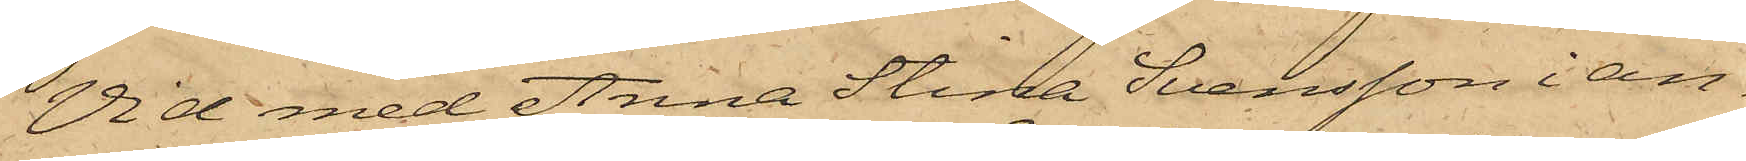Vid med Anna Stina Svensson i an¬
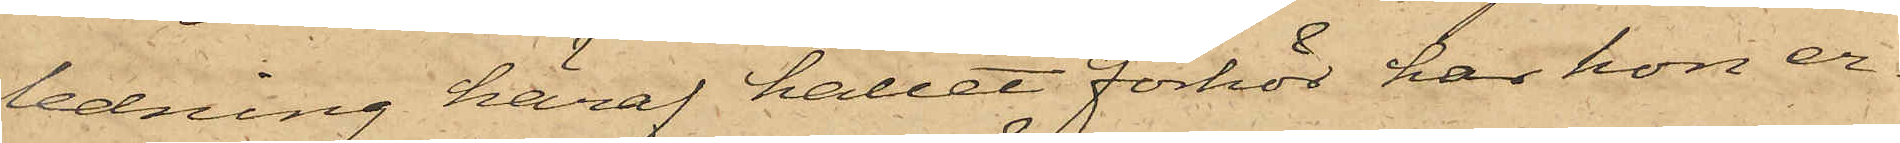ledning häraf hållet förhör har hon er¬
